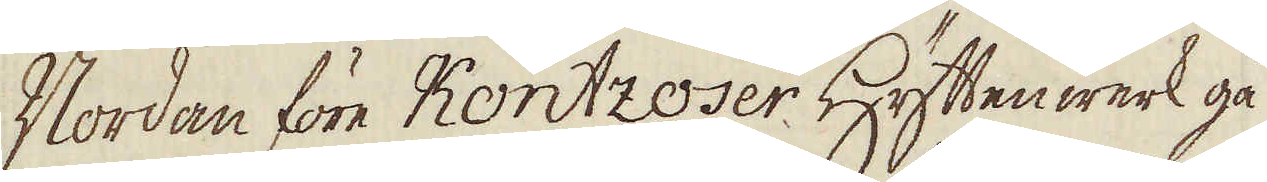Nordan före Kontzoser Hyttenwerk gå
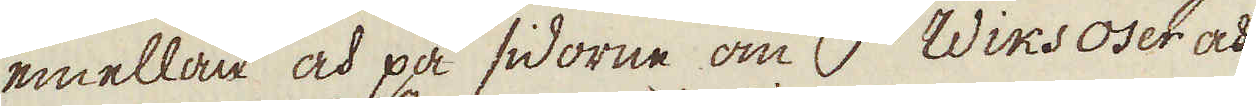emellan och på sidorne om i Wiksoser och
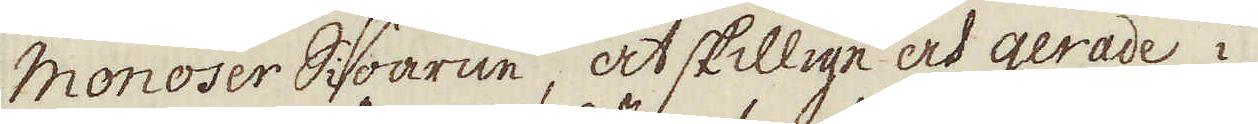Monoser Siöarne, åtskillige och gerade i
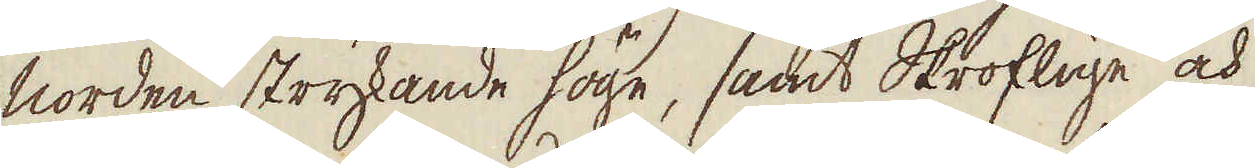norden strykande höge, samt Skroflige och
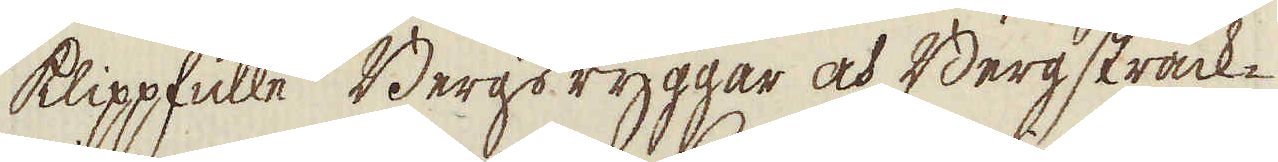klippfulle Bergs ryggar och Berg sträck-
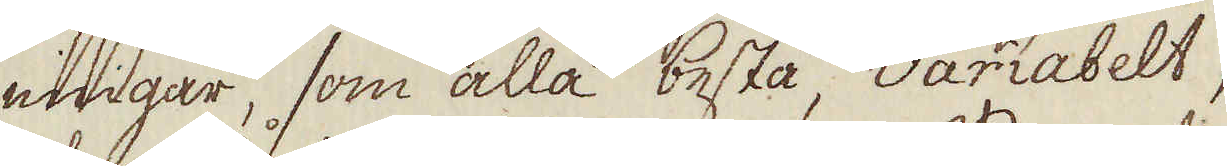ningar, som alla bestå, variabelt,
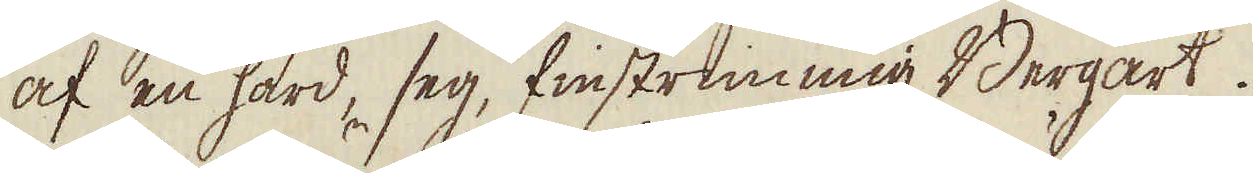af en hård, seg, finstrimmig Bergart.
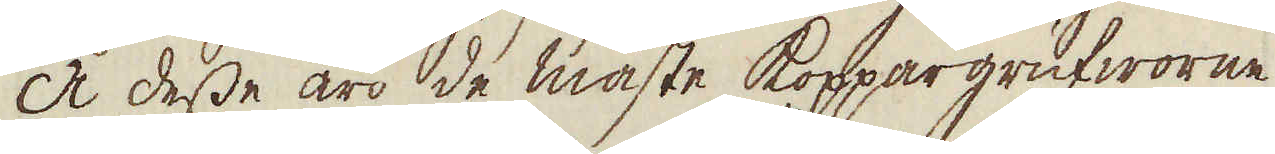Å desse äro de mäste Koppargrufworne
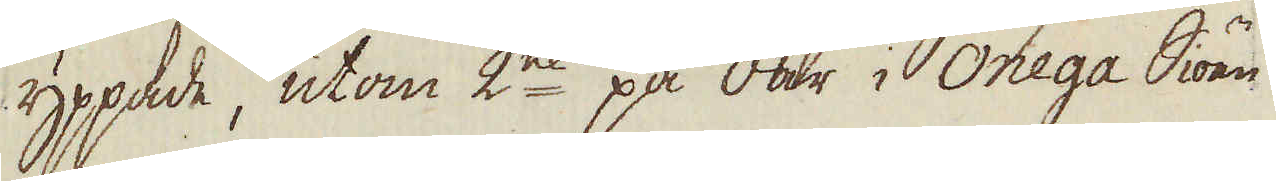yppade, utom 2ne på Öar i Onega Siöen
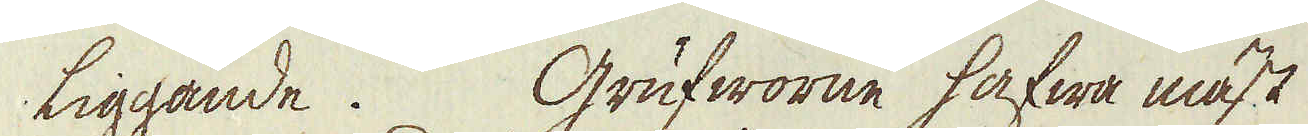liggande. Grufworne hafwa mäst
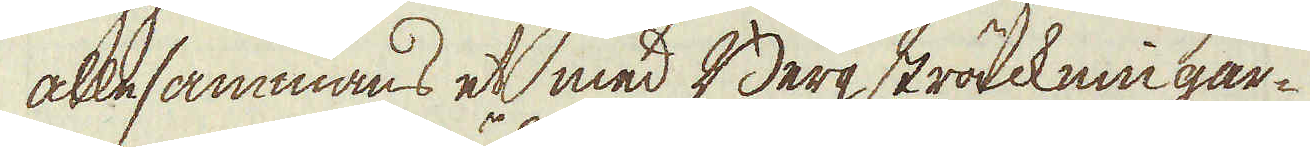allesammans et med Berg sträckningar-
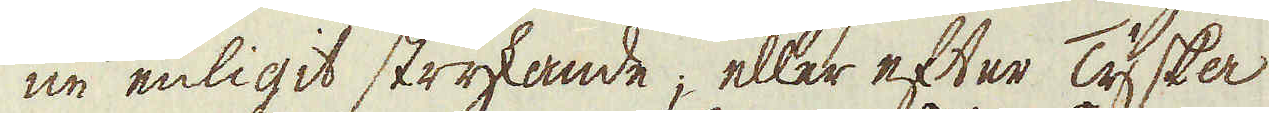ne enligit strykande, eller efter Tyska
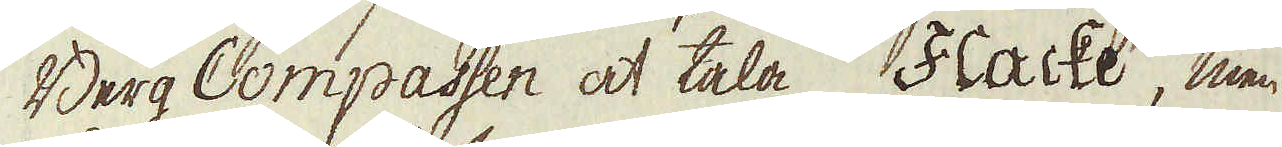Berg Compassen at tala Flache, men
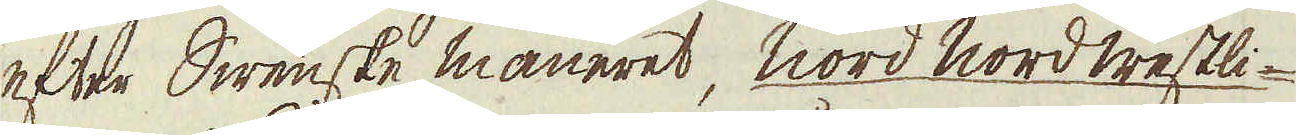efter Swenske maneret, Nord Nord westli-
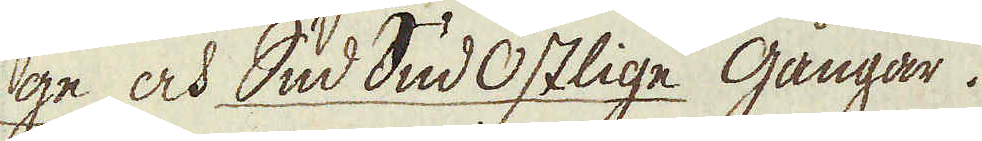ge och Sud Sud Ostlige gångar.
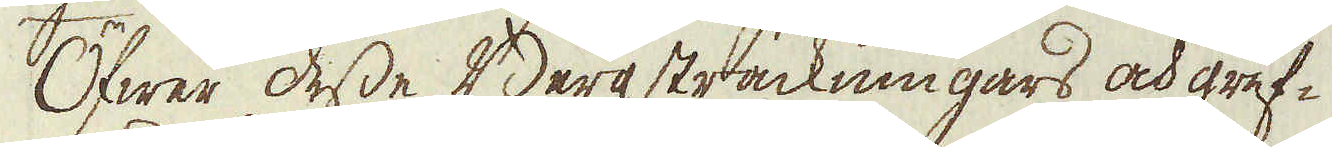Öfwer desse Bergsträckningars och gruf-
